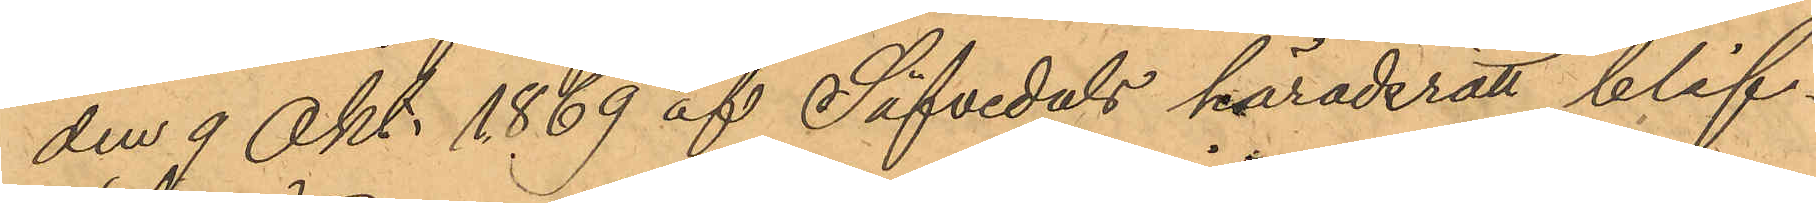den 9 Okt. 1869 af Säfvedals häradsrätt blif¬
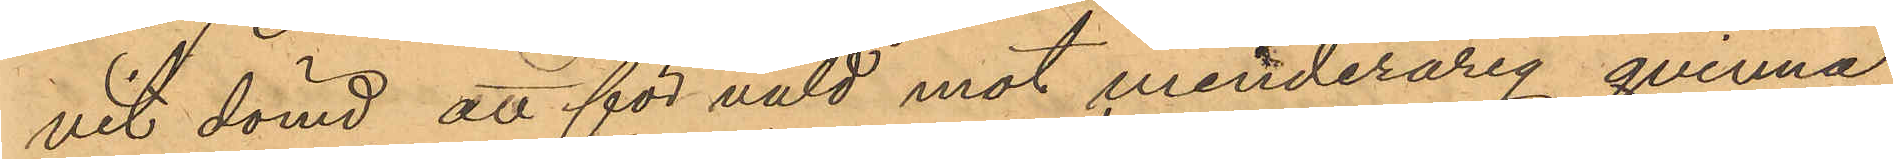vit dömd att för våld mot minderårig qvinna
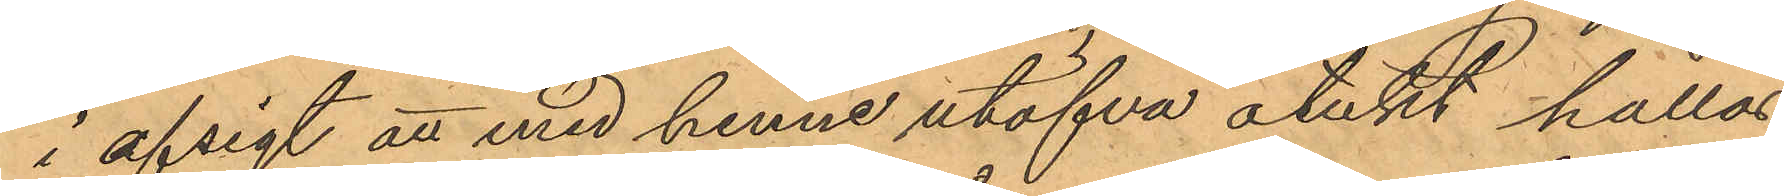i afsigt att med henne utöfva otukt hållas
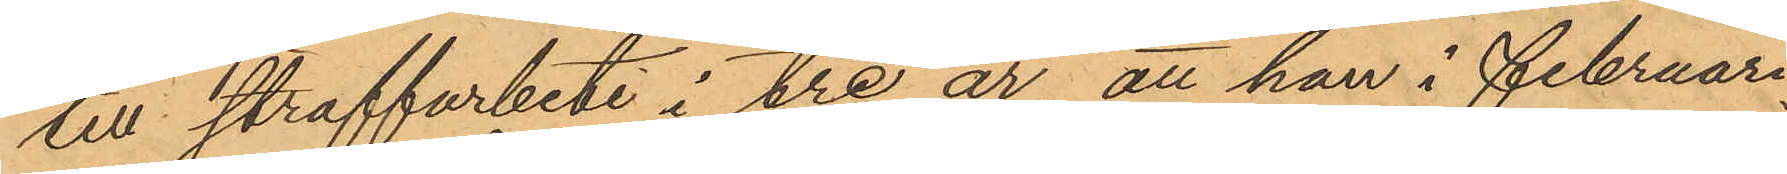till straffarbete i tre år, att han i Februari
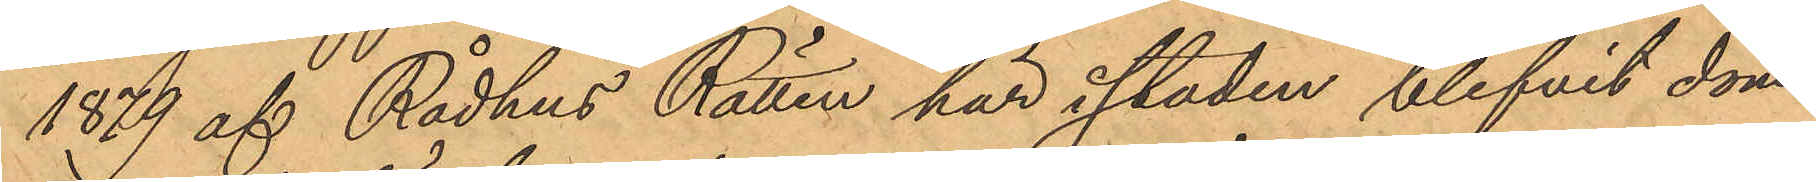1879 af Rådhus Rätten här i staden blifvit dömd
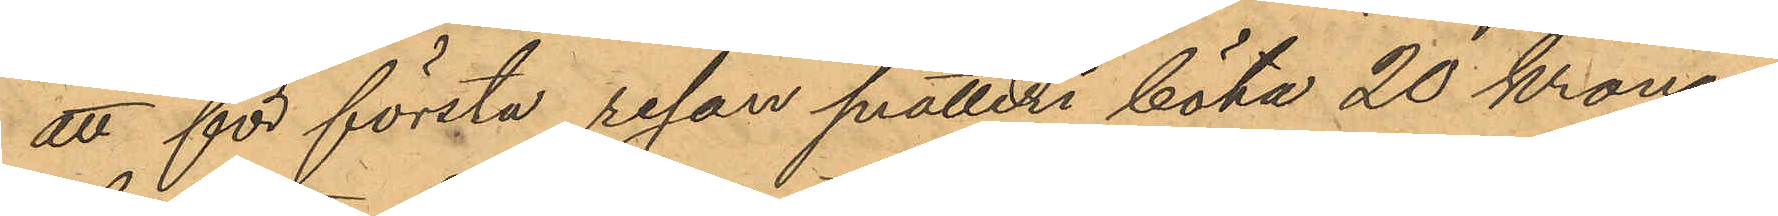att för första resan snatteri böta 20 kronor
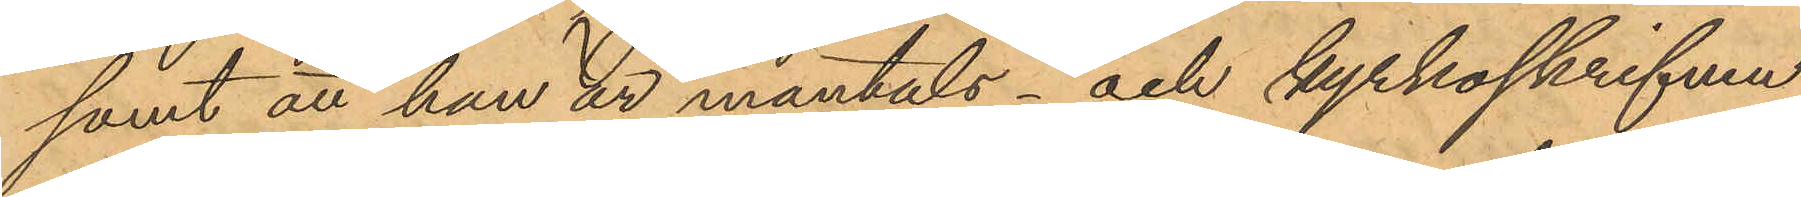samt att han är mantals- och kyrkoskrifven
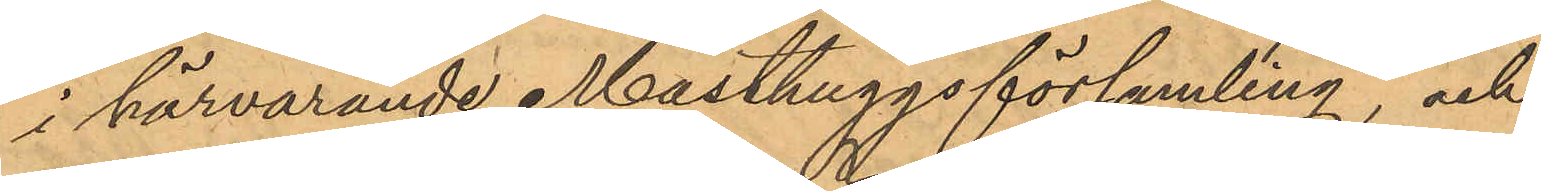i härvarande Masthuggsförsamling, och
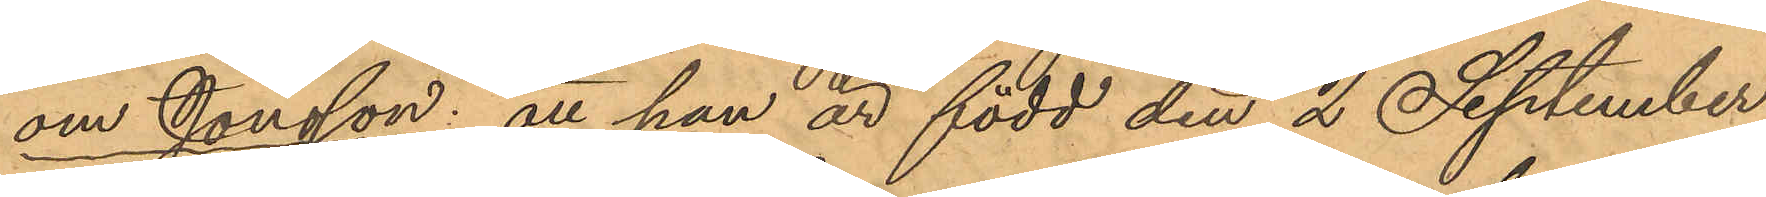om Jonsson: att han är född den 2 September
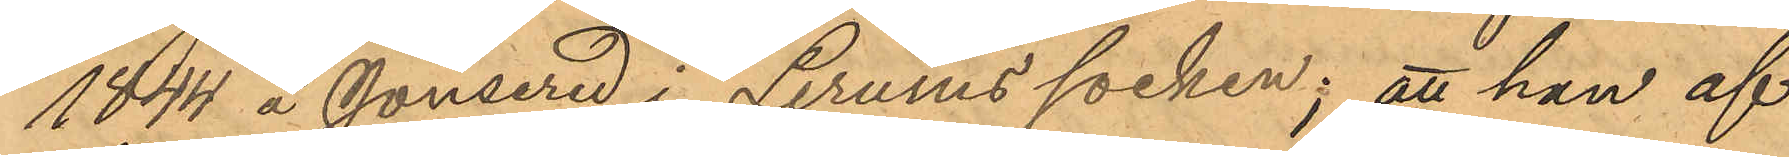1844 å Jonsered i Lerums socken; att han af
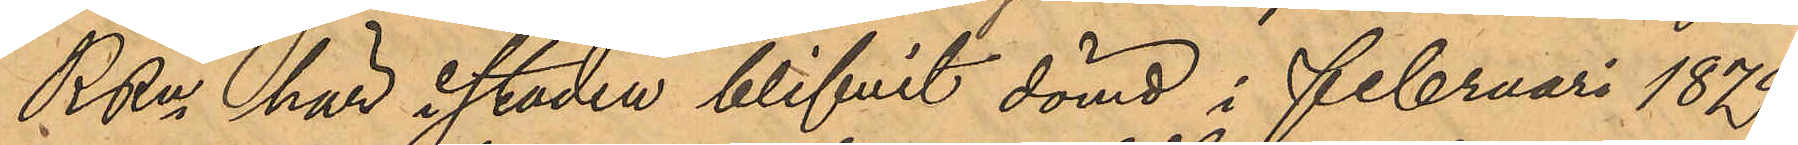RRn här i staden blifvit dömd i Februari 1879
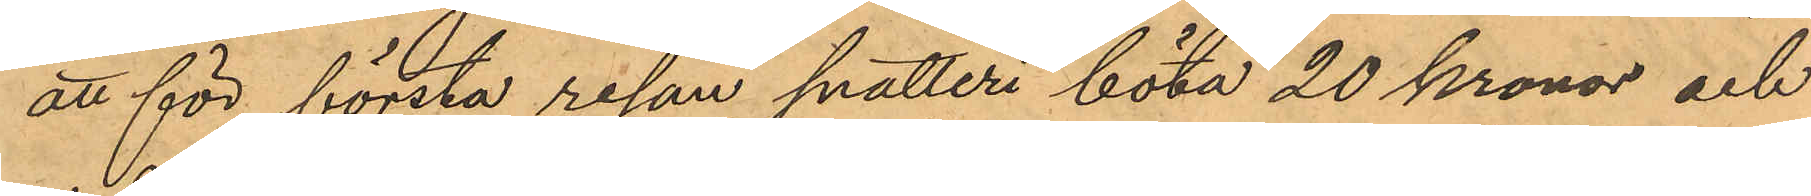att för första resan snatteri böta 20 kronor och
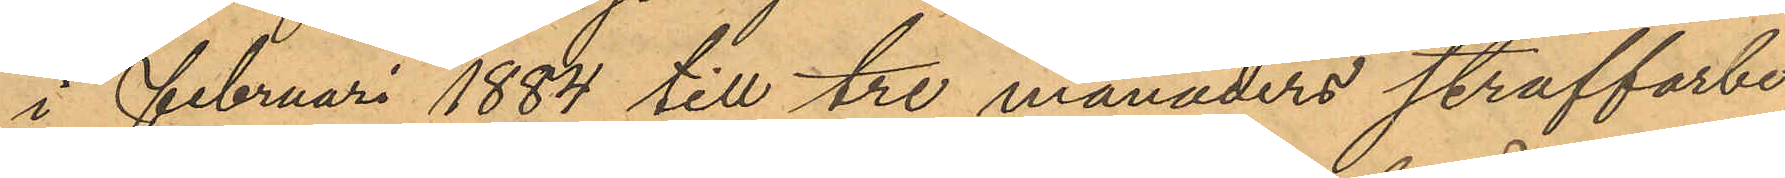i Februari 1884 till tre månaders straffarbe
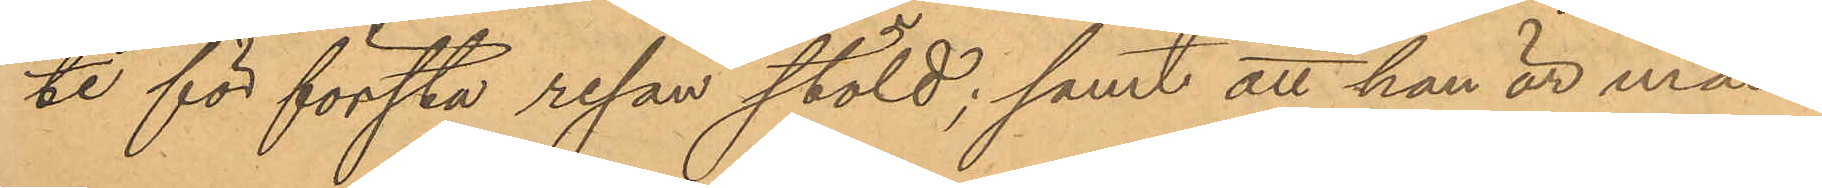te för första resan stöld; samt att han är man¬
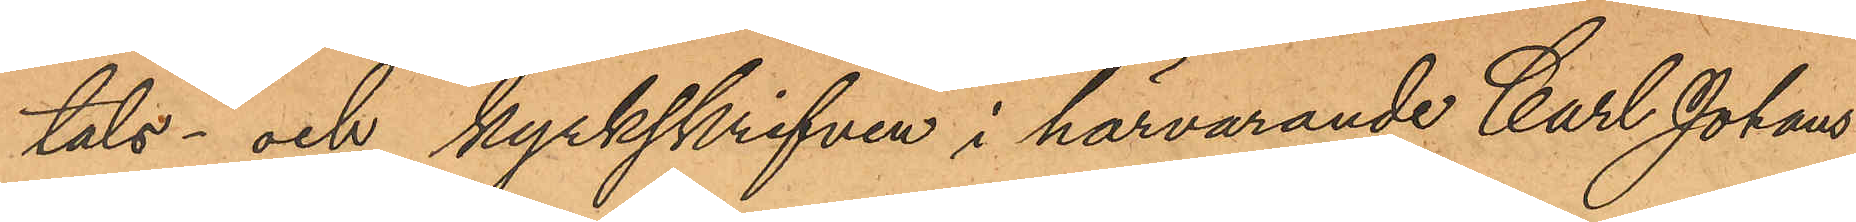tals- och kyrkskrifven i härvarande Carl Johans
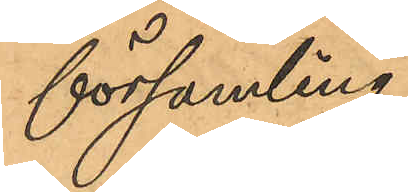församling.
